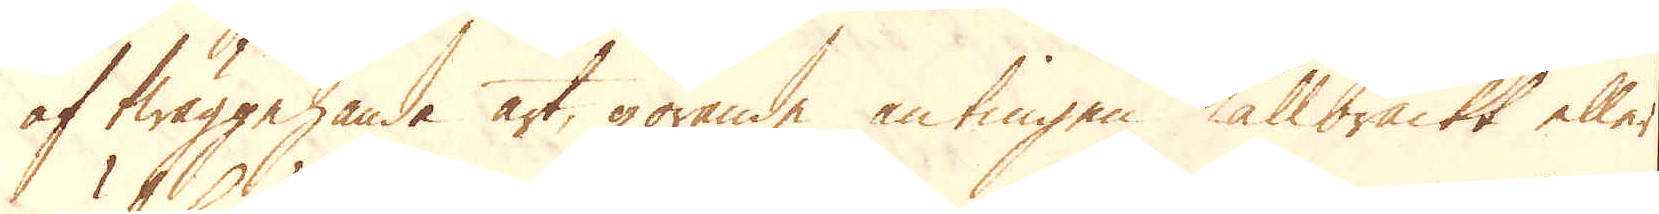af twäggehanda art, görande antingen Kallbräckt eller
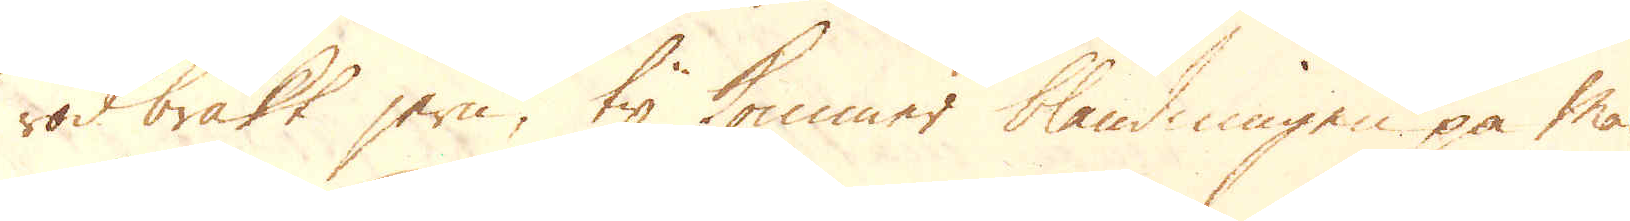rödbräkt jern, ty kommer blandningen på Mas-
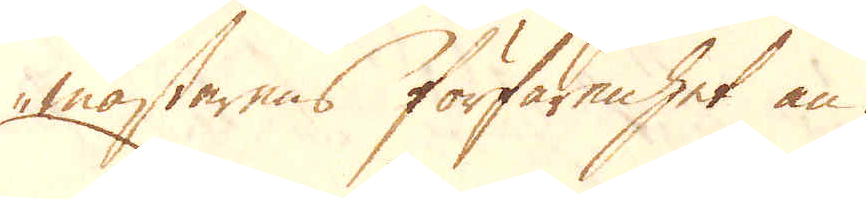mästarens förfarenhet an.
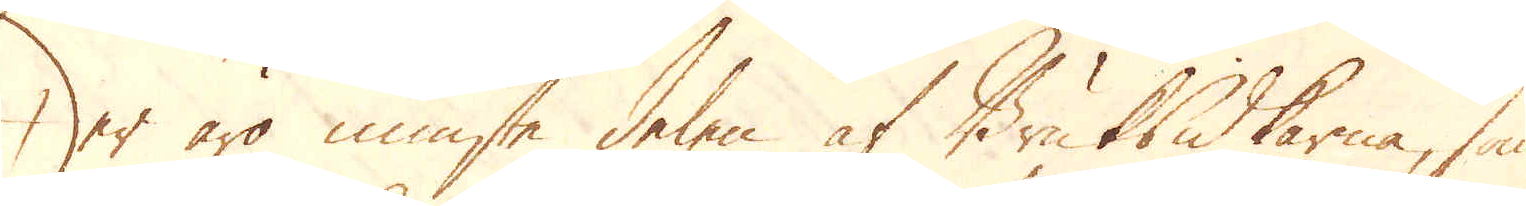Der äro minste delen af Bruksidkarne, som
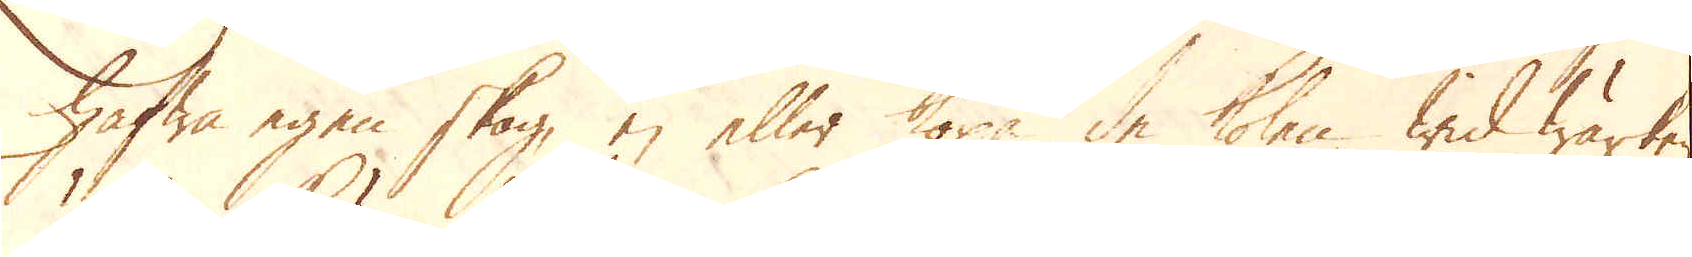hafwa egen skog, ej eller köpa de kolen wid wärken
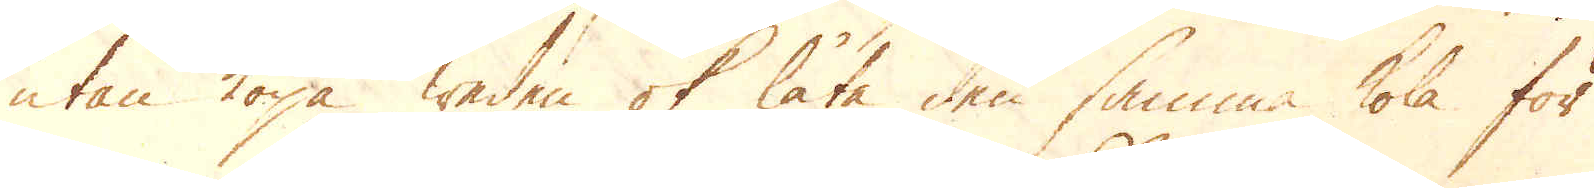utan köpa weden ok låta den samma kola för
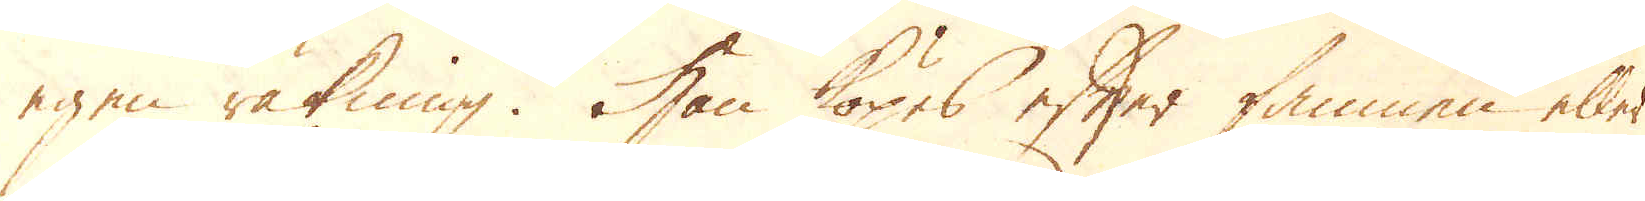egen räkning. Han köpes efter famnen eller
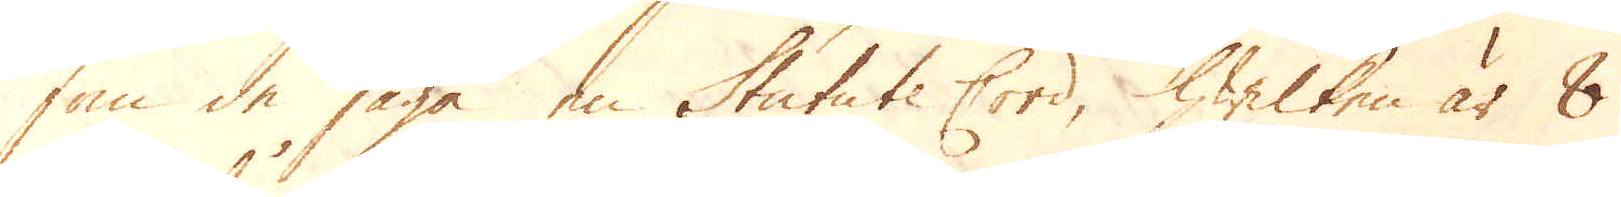som de säga en Statute Cord, hwilken är 8
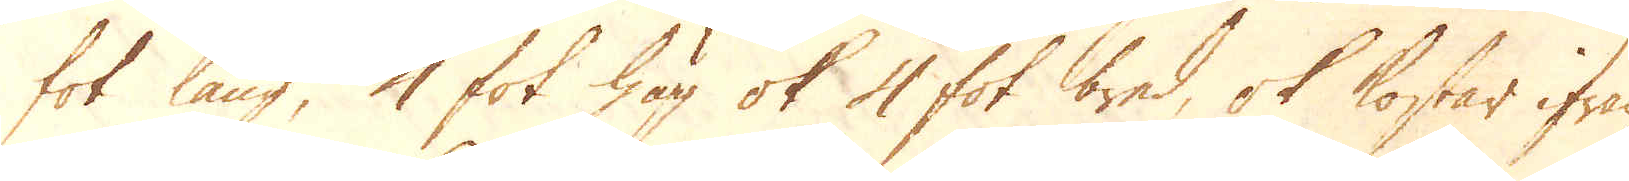fot lång, 4 fot hög ok 4 fot bred, ok kostar ifrån
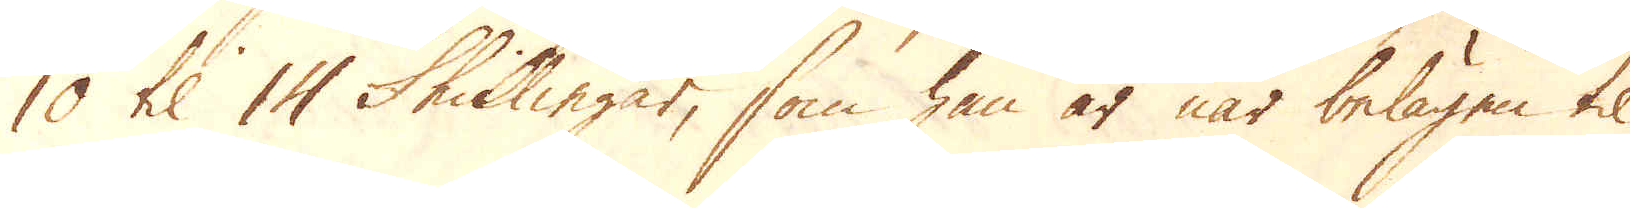10 til 14 Skillingar, som han är när belägen til
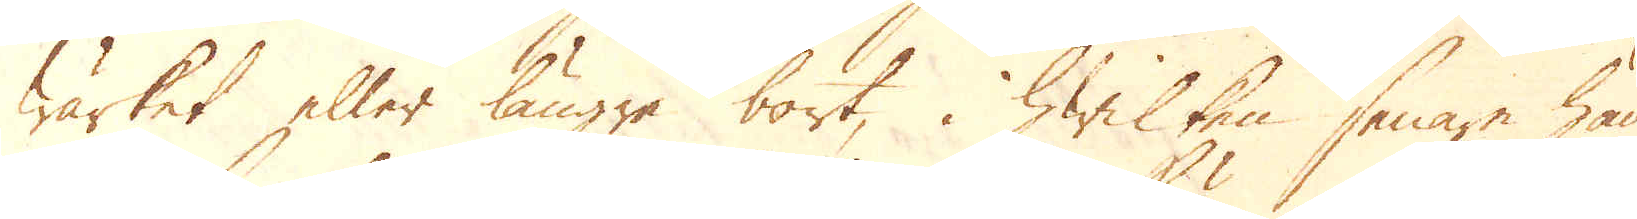Wärket eller längre bort, i hwilken senare hän-
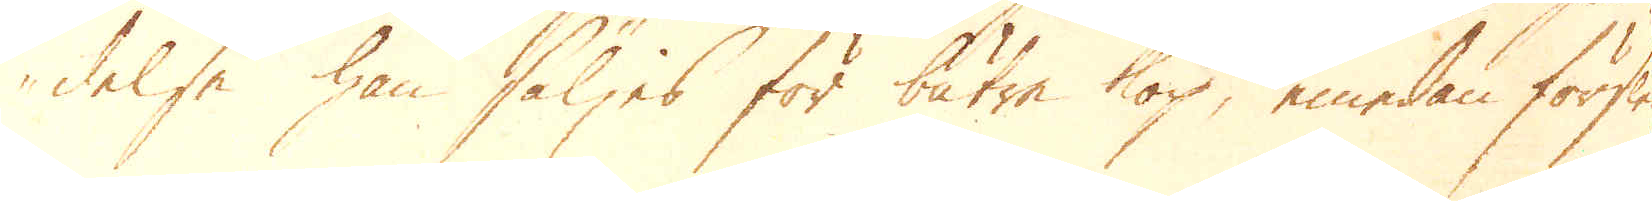delse han säljes för bättre köp, emedan förslen
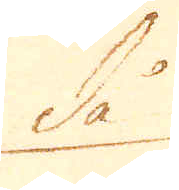då
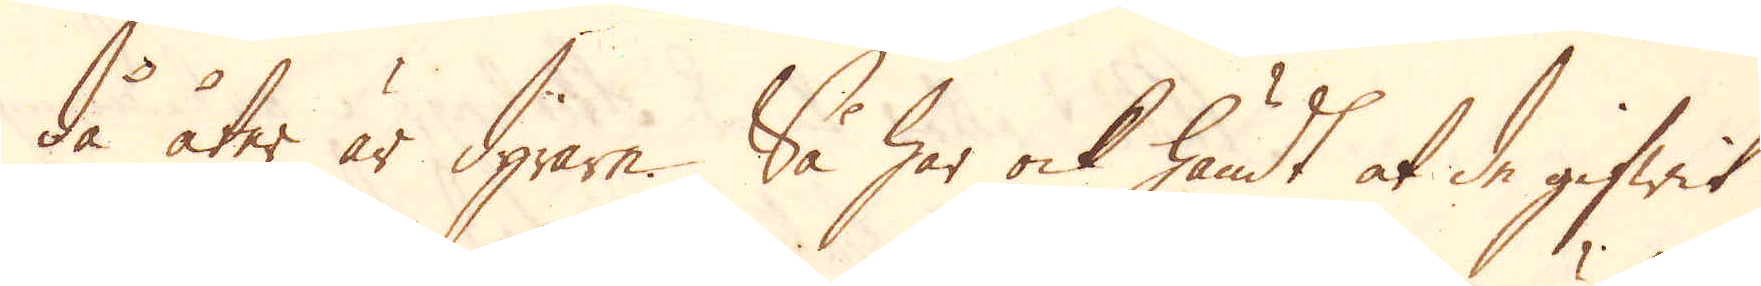då åter är dyrare. Så har ock händt at de gifwit
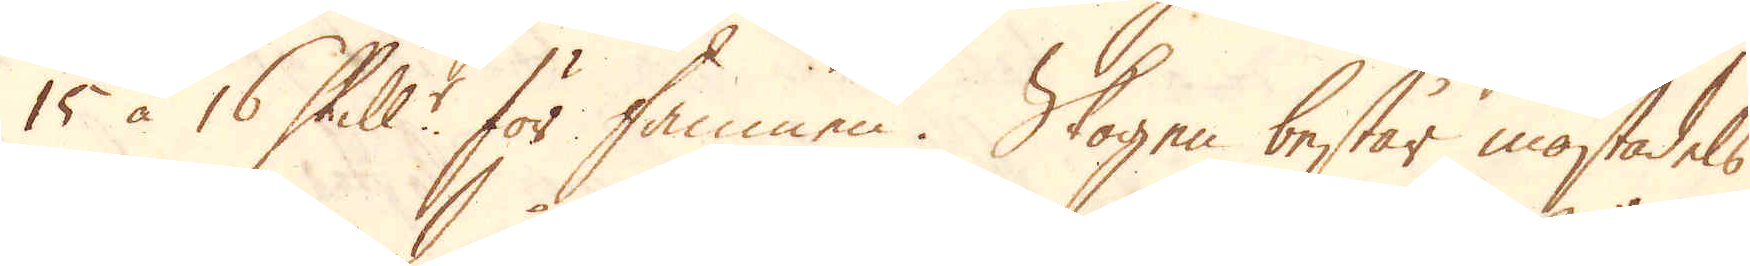15 à 16 Skill:r för famnen. Skogen består mästadels
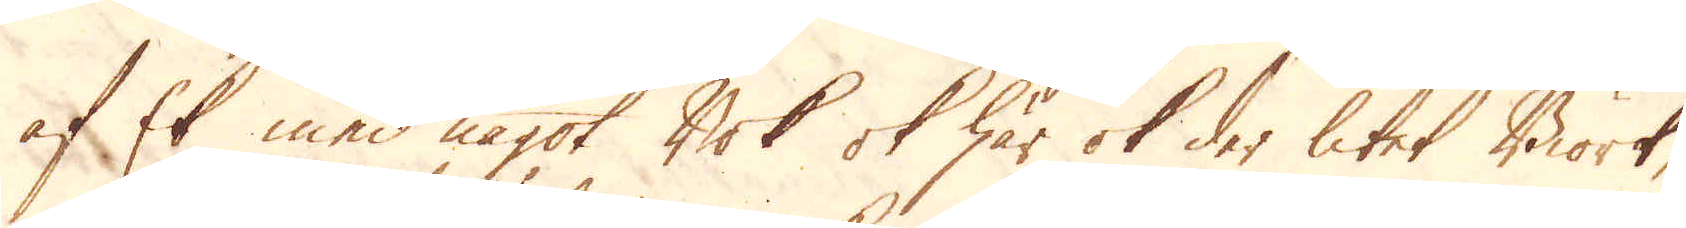af Ek med något Bok ok här ok der litet Biörk,
